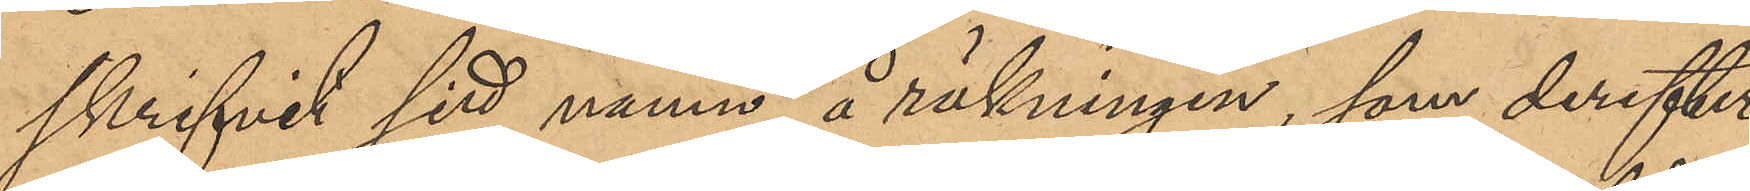skrifvit sitt namn å räkningen, som derefter
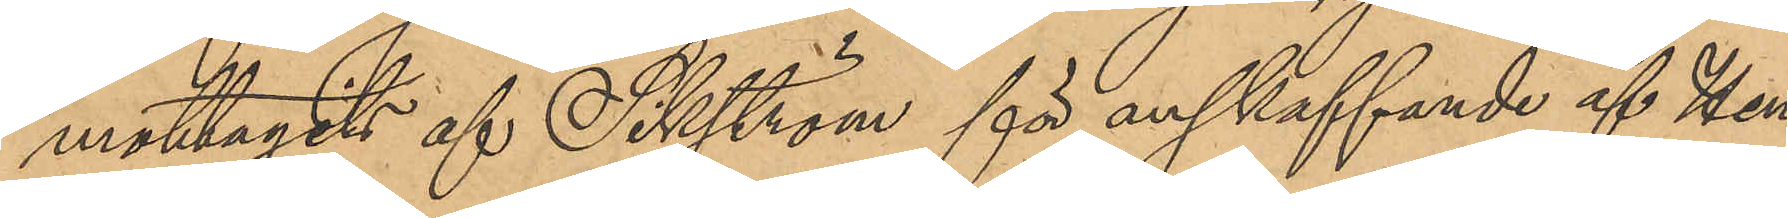mottagits af Sikström för anskaffande af Hen¬
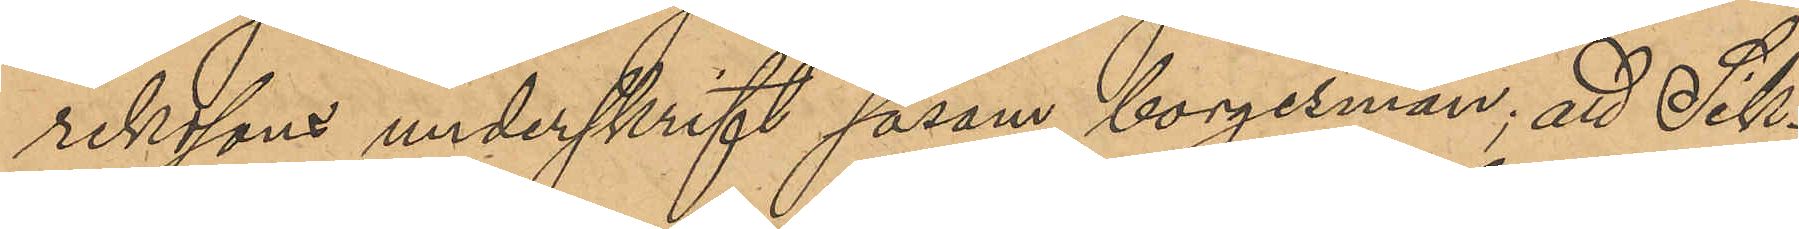rikssons underskrift såsom borgensman, att Sik¬
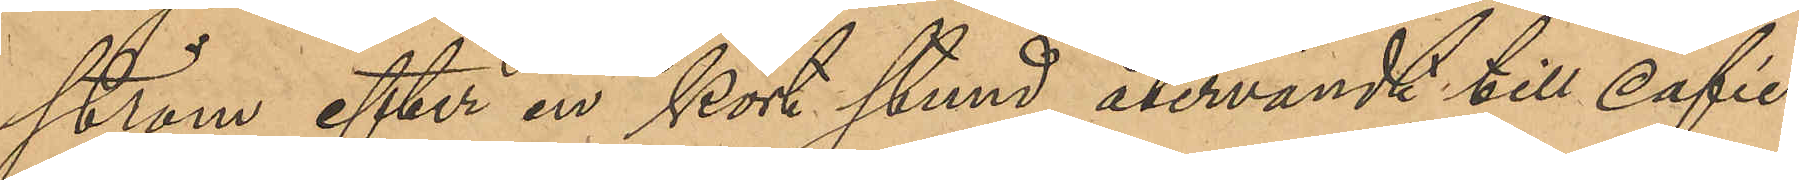ström efter en kort stund återvändt till caféet,
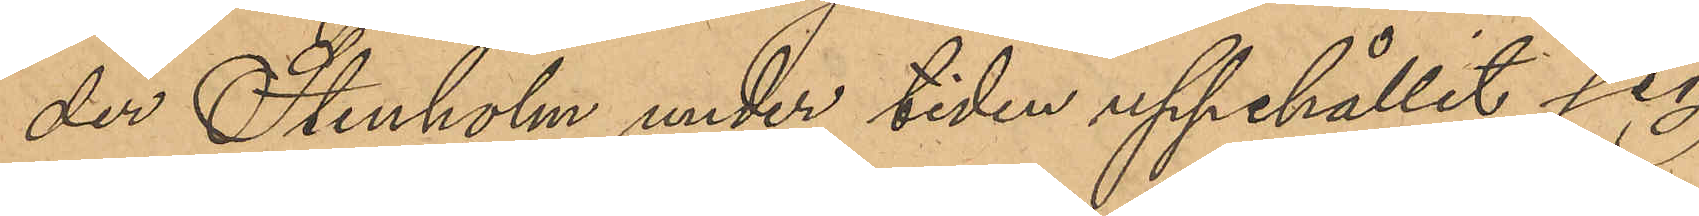der Stenholm under tiden uppehållit sig
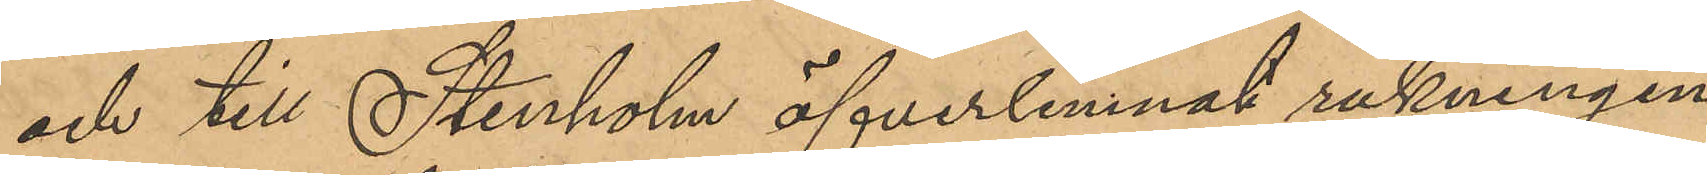och till Stenholm öfverlemnat räkningen
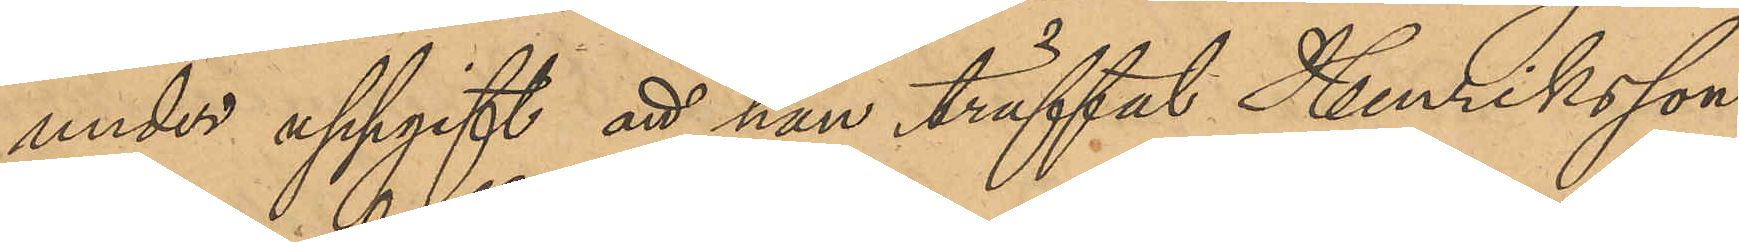under uppgift att han träffat Henriksson,
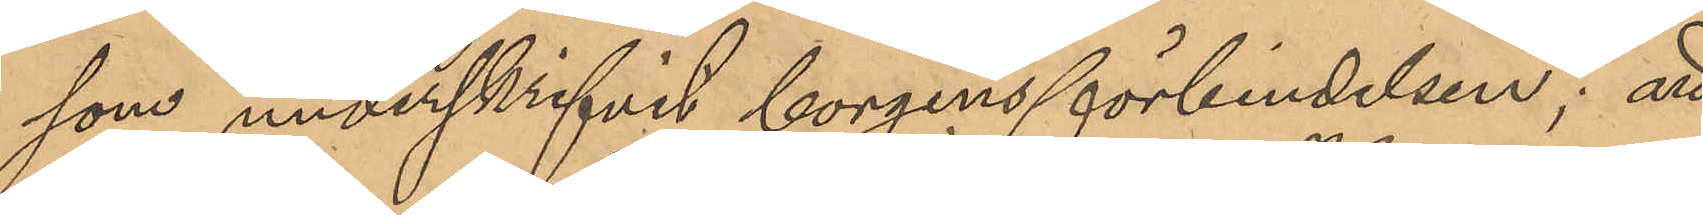som underskrifvit borgensförbindelsen; att
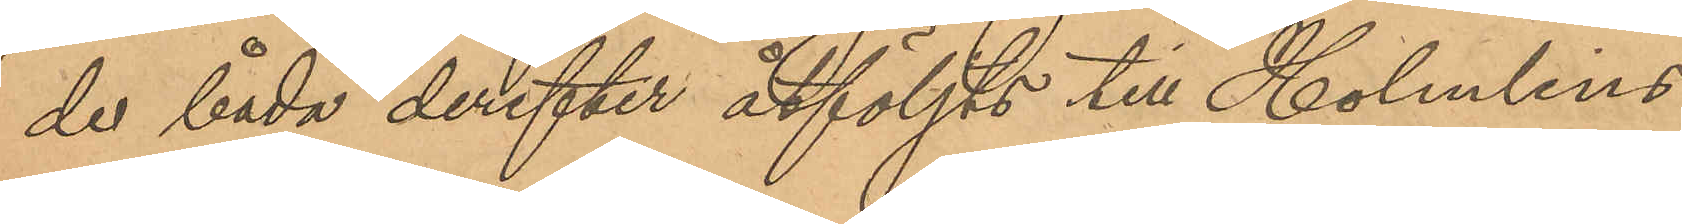de båda derefter åtföljts till Holmlins
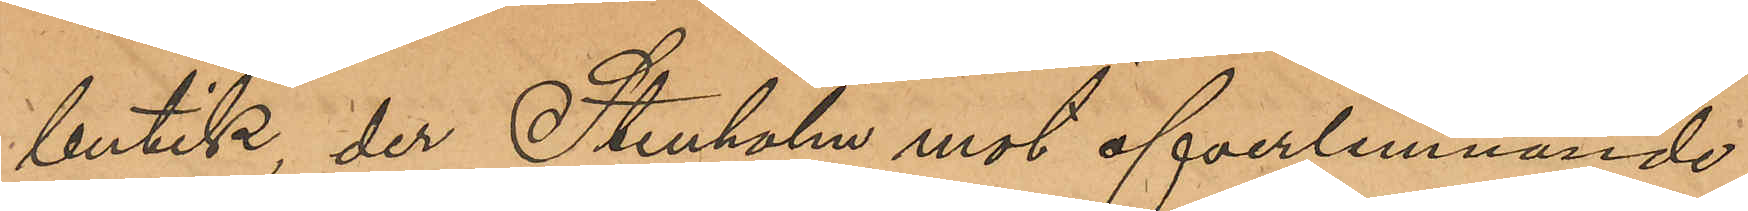butik, der Stenholm mot öfverlemnande
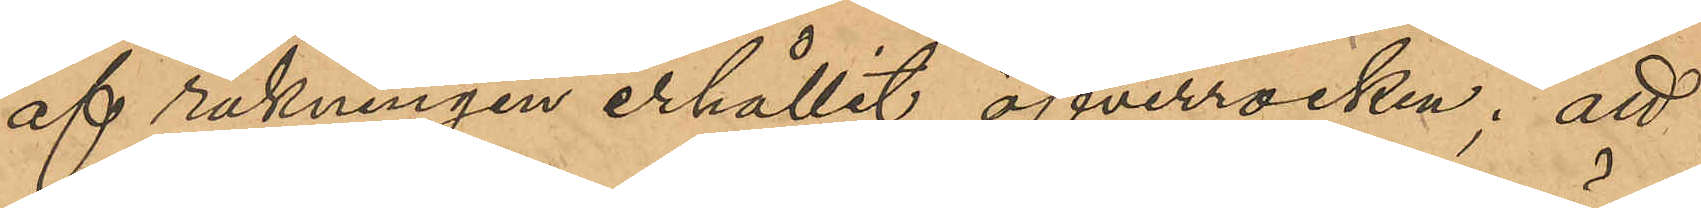af räkningen erhållit öfverrocken; att
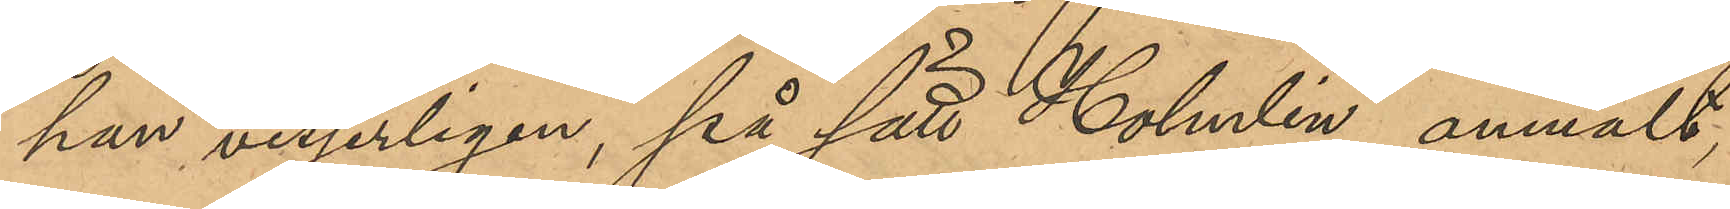han visserligen, på sätt Holmlin anmält,
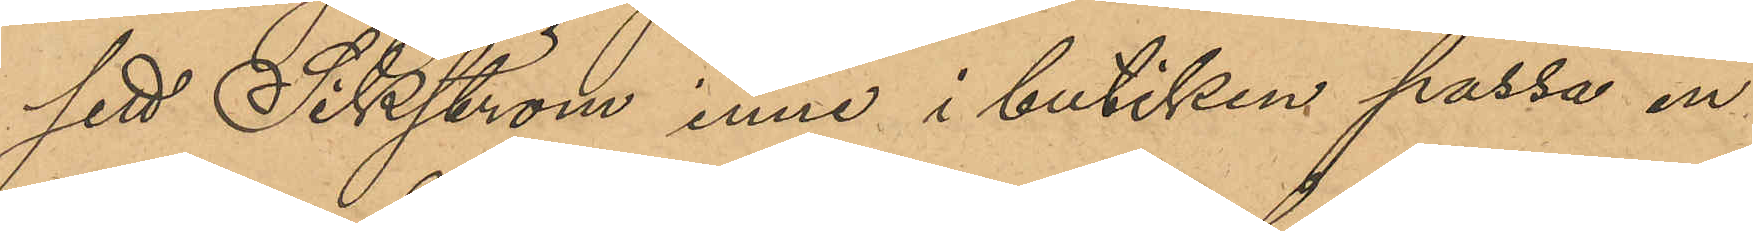sett Sikström inne i butiken passa en 
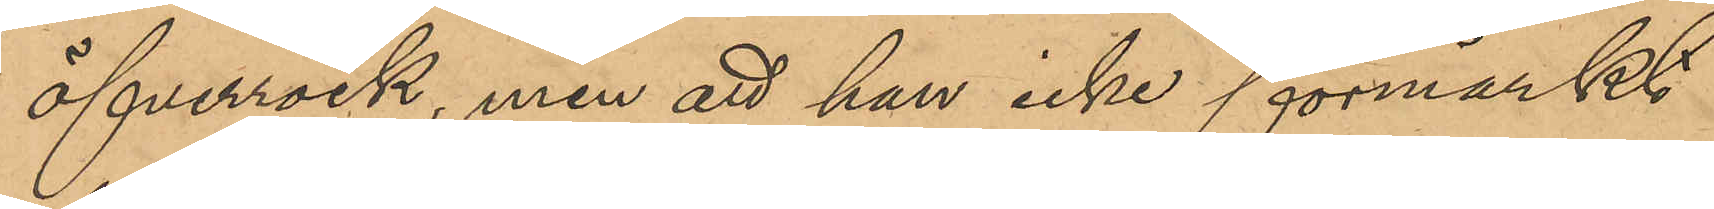öfverrock, men att han icke förmärkt
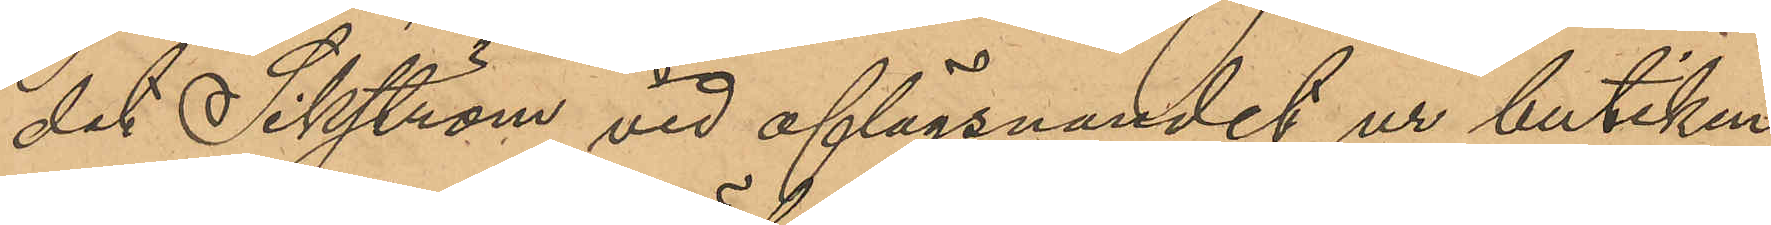det Sikström vid aflägsnandet ur butiken
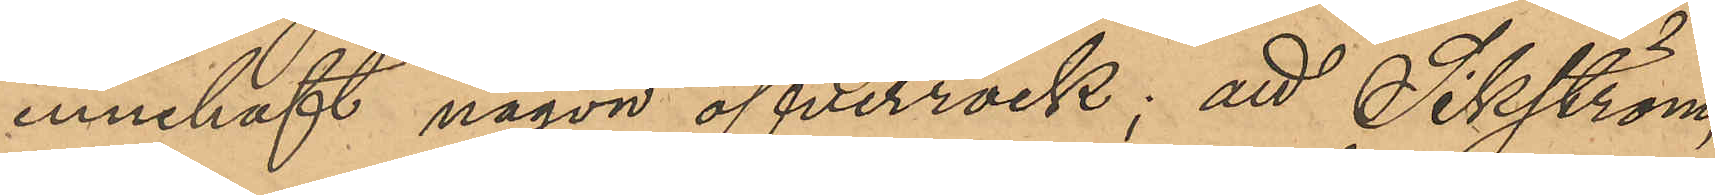innehaft någon öfverrock; att Sikström,
